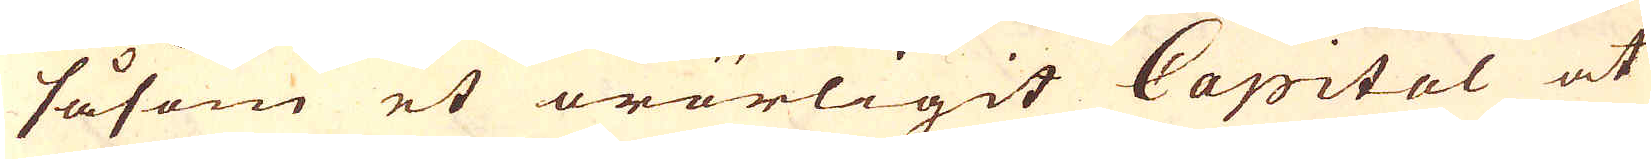såsom et orörligit Capital at
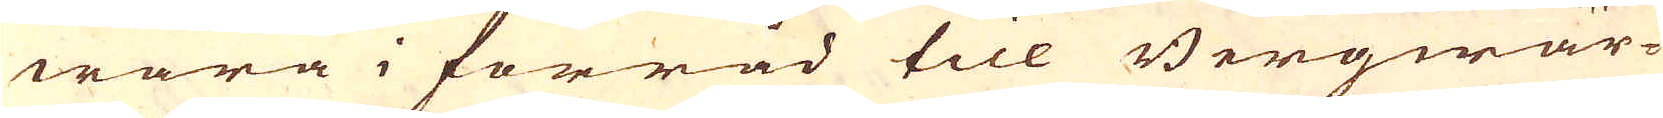wara i förråd till Bergwär-
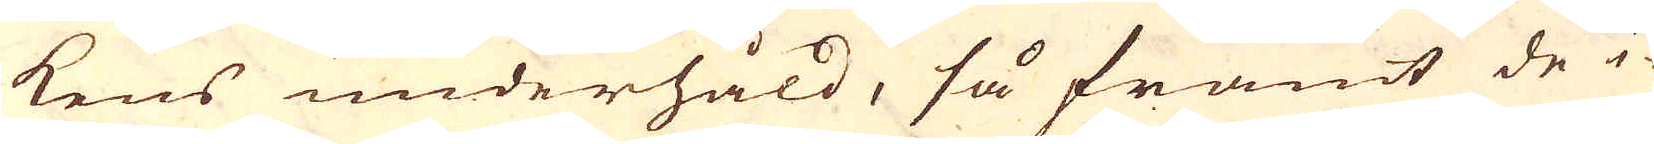kens underhåld, så framt de i-
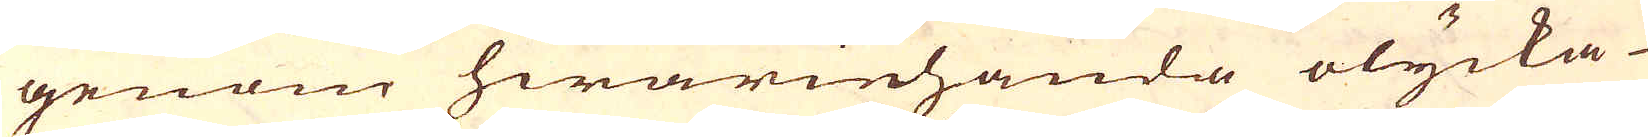genom hwariehanda olycka
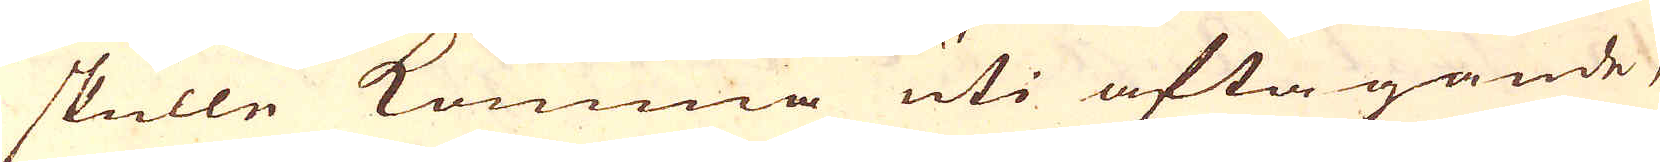skulle komma uti aftagande,
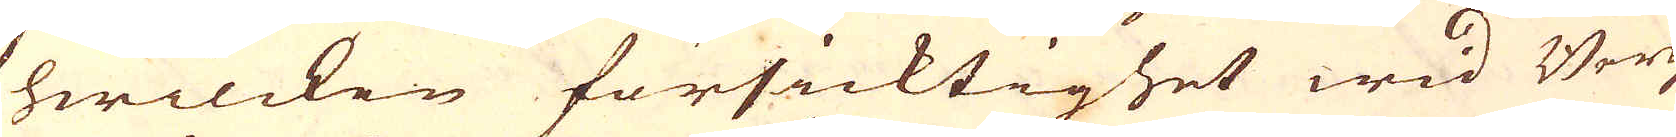hwilcken försicktighet wid Berg-
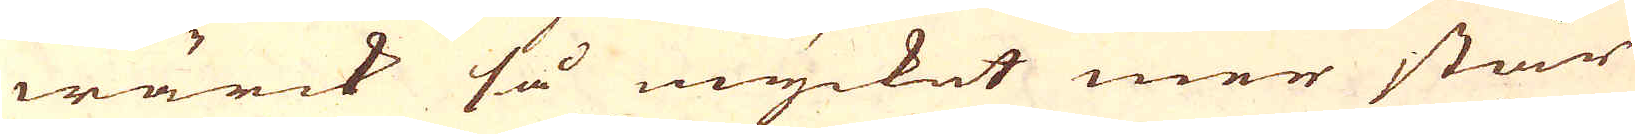wärck så mycket mer står
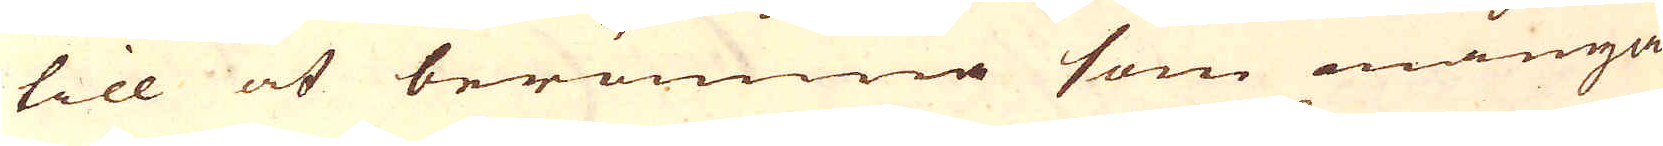till at berömma som många
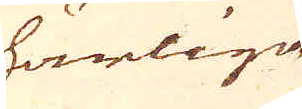härliga
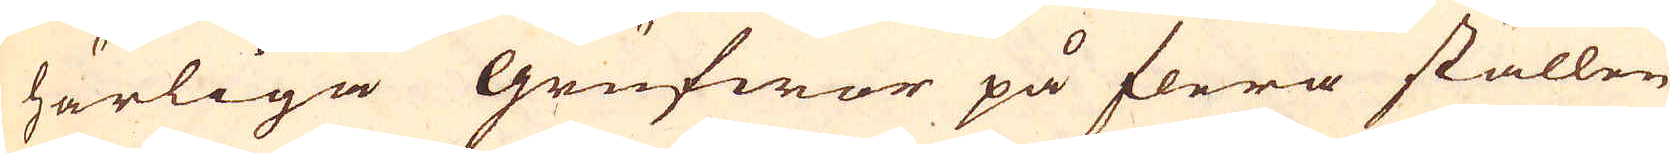härliga grufwor på flera ställen
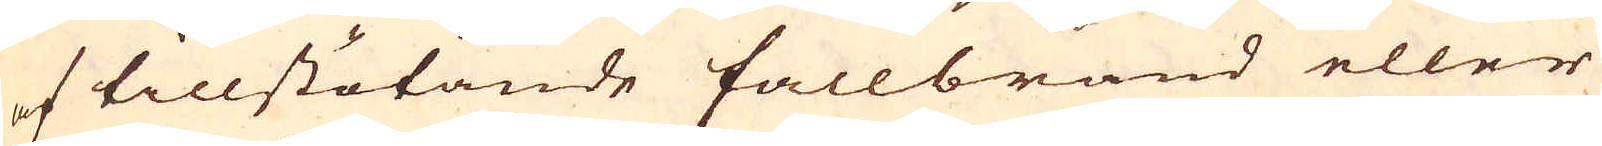af tillstötande fallbrand eller
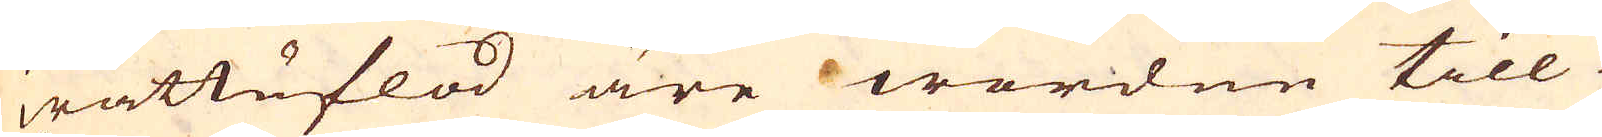wattuflod äre wordne till
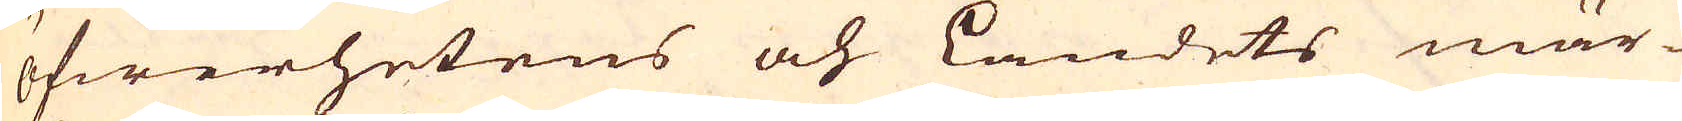öfwerhetens och Landets mär-
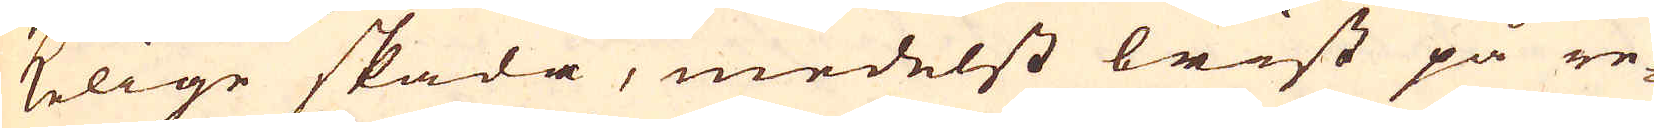kelige skada, medelst brist på re-
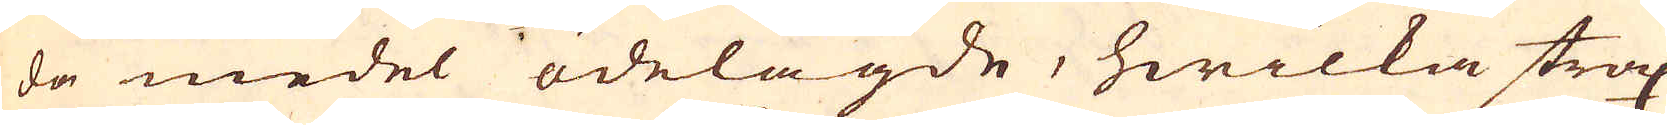da medel ödelagde, hwilka strax
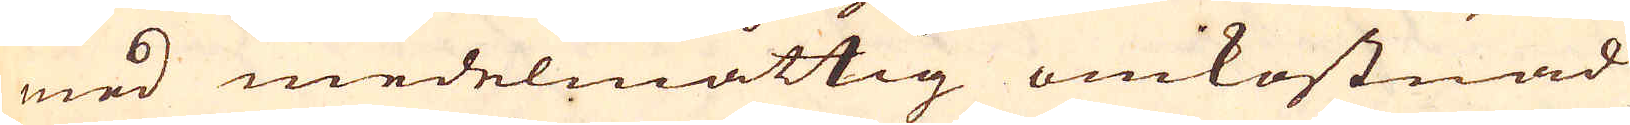med medelmåttig omkostnad
